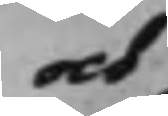och
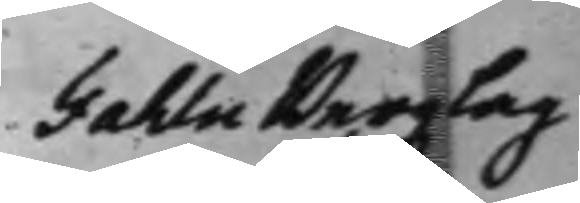Fahlu Bergzlag
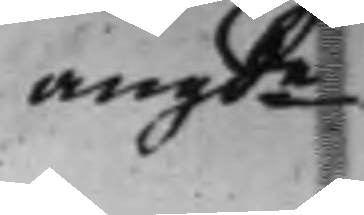angde
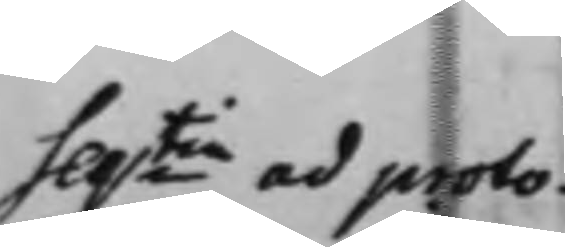Seqtia ad proto¬
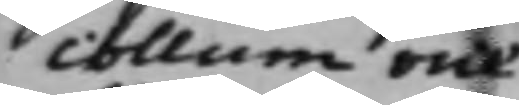collum vice
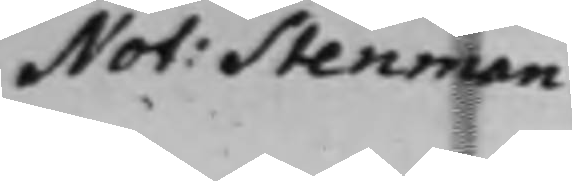Not: Stenman.
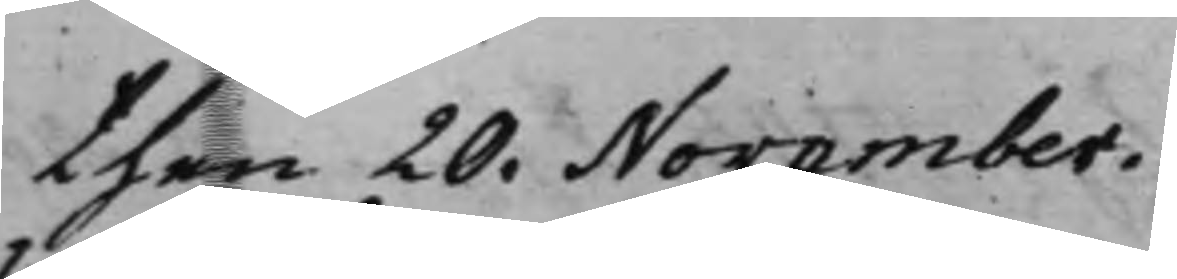then 20. November.
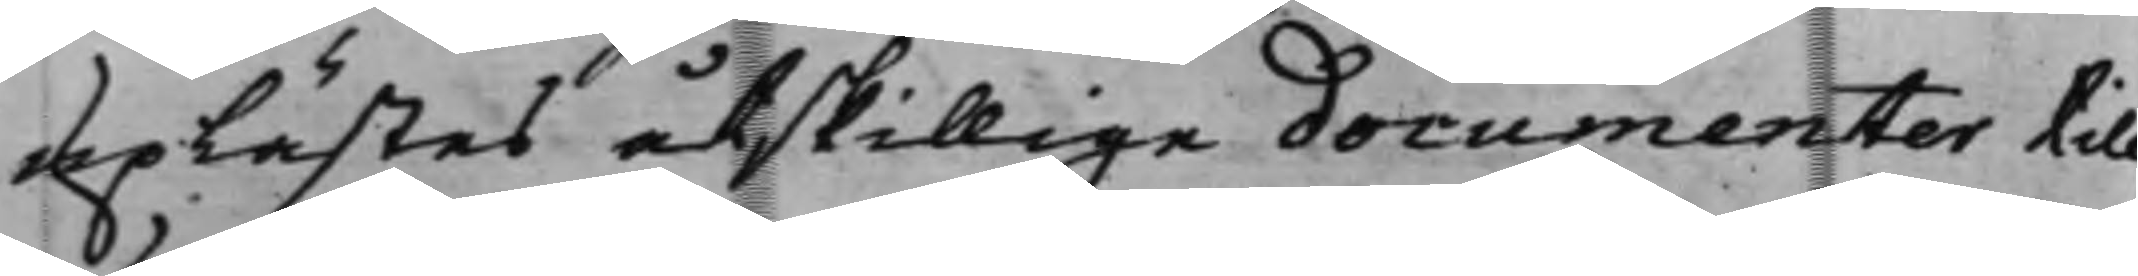uplästes åtskillige documenter till
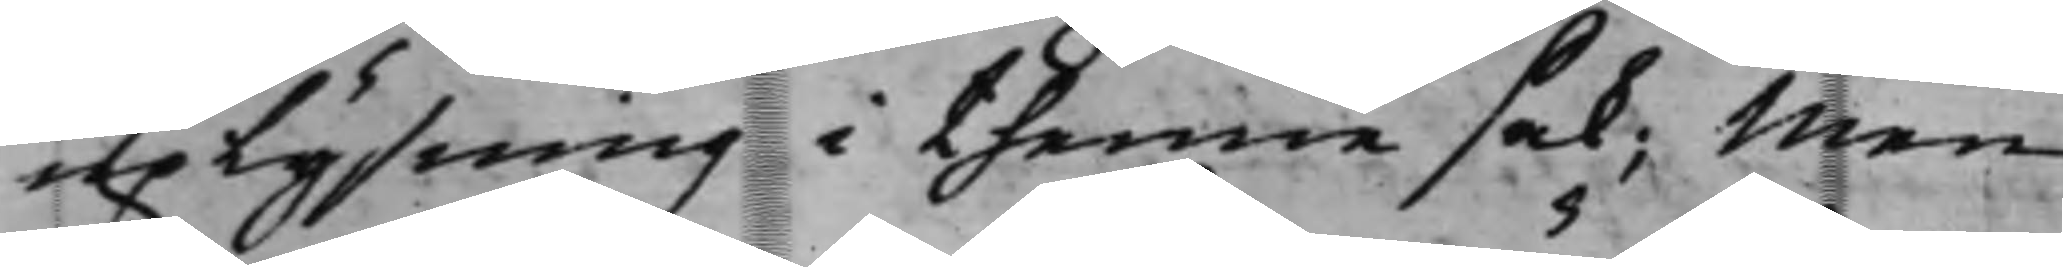uplysning i thenne sak; Men
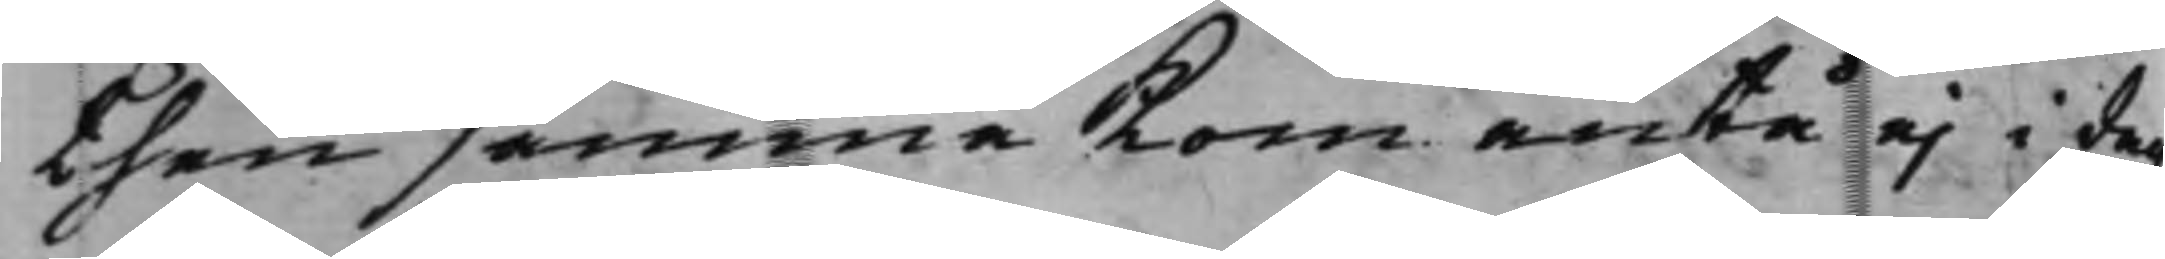then samma kom äntå ej i dag
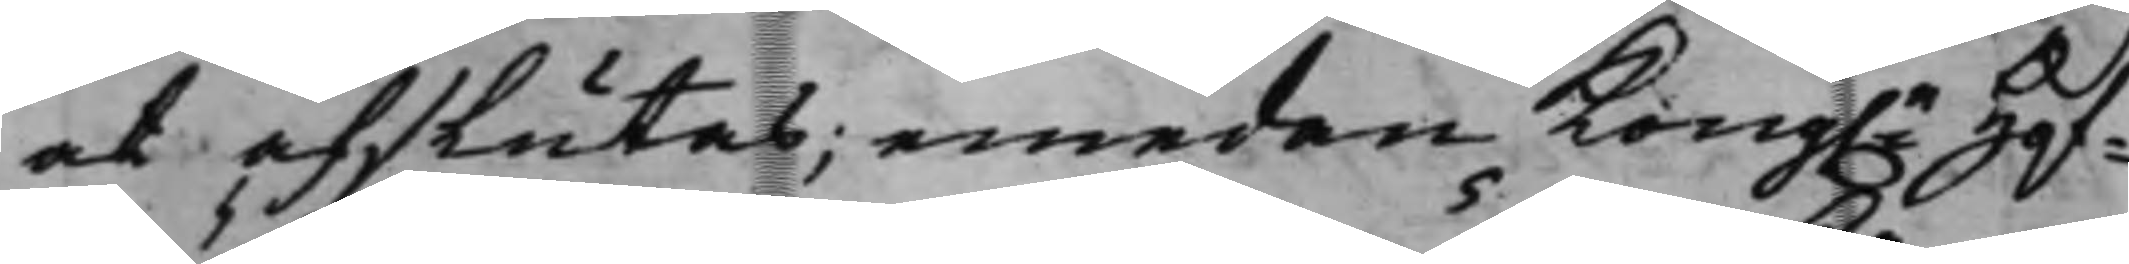at afslutas; emedan Kong. Hof¬
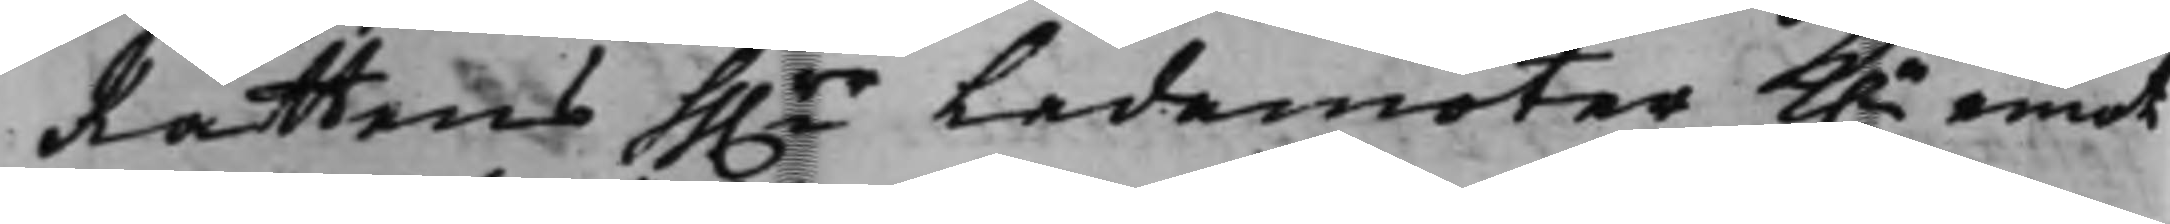Rättens hh.rr Ledamöter K.n emot
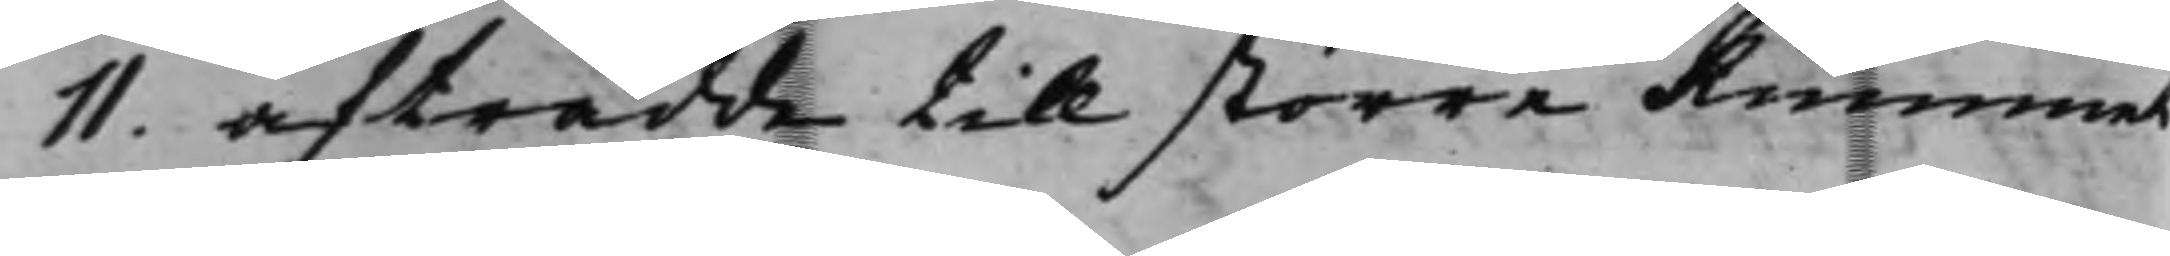11. afträdde till större Rummet
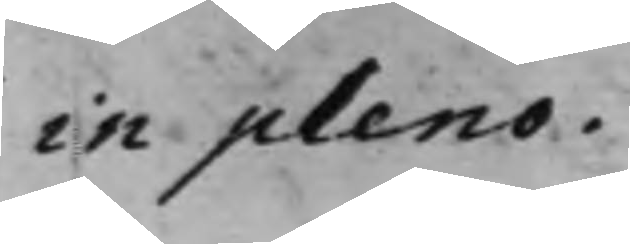in pleno.
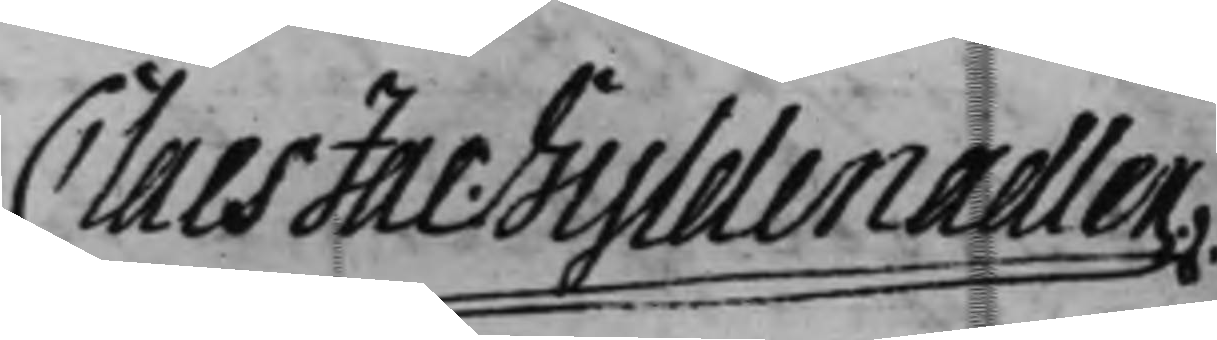Claes Jac: Gyldenadler.
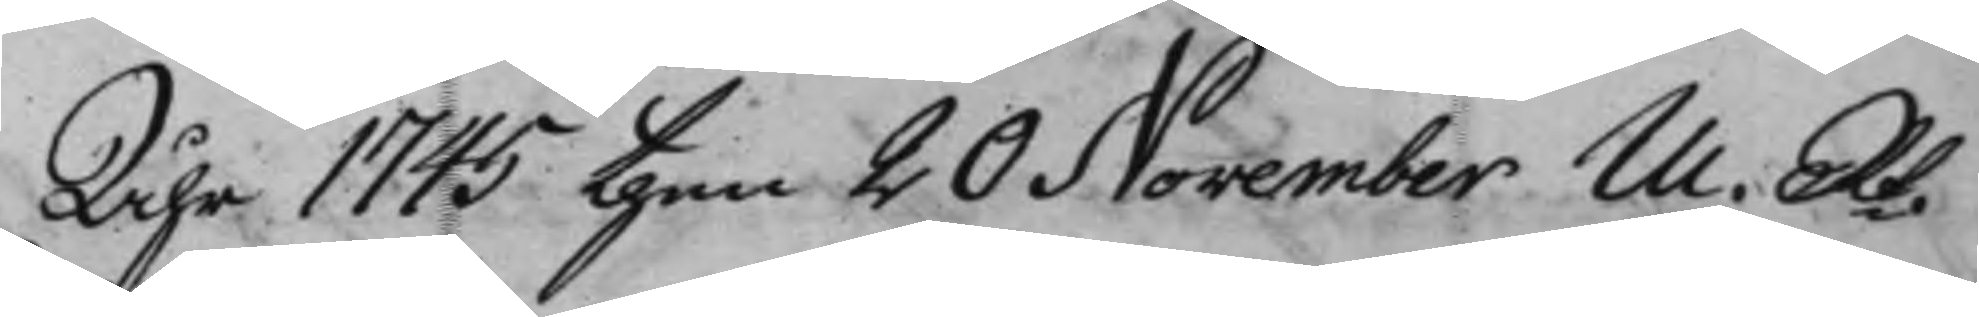Åhr 1745 then 20 November M. Rt.
